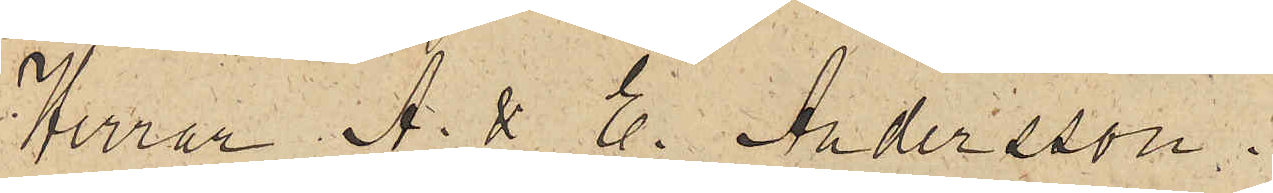Herrar A & E Andersson.
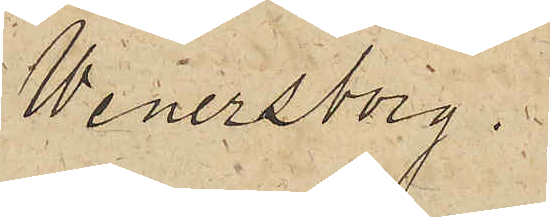Wenersborg.
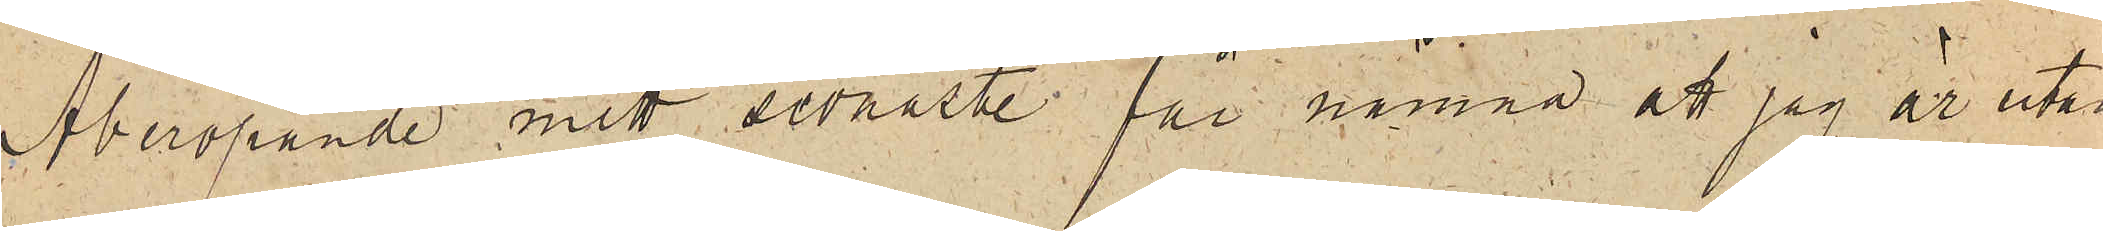Åberopande mitt sednaste får nämna att jag är utan
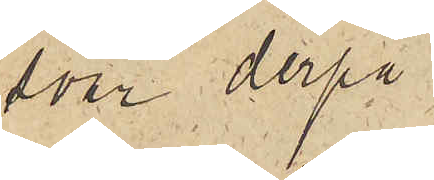svar derpå.
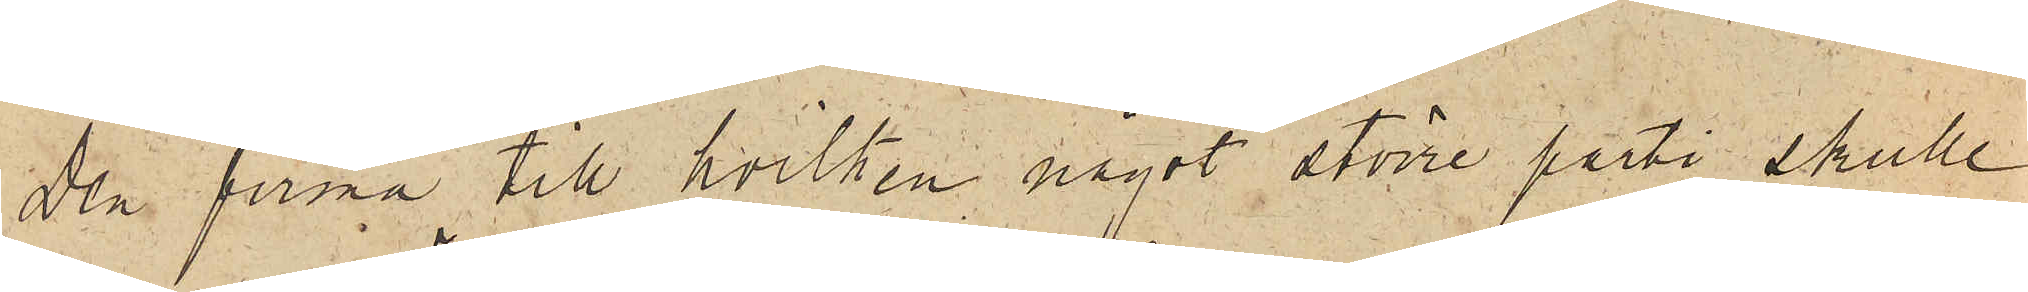Den firma till hvilken något större parti skulle
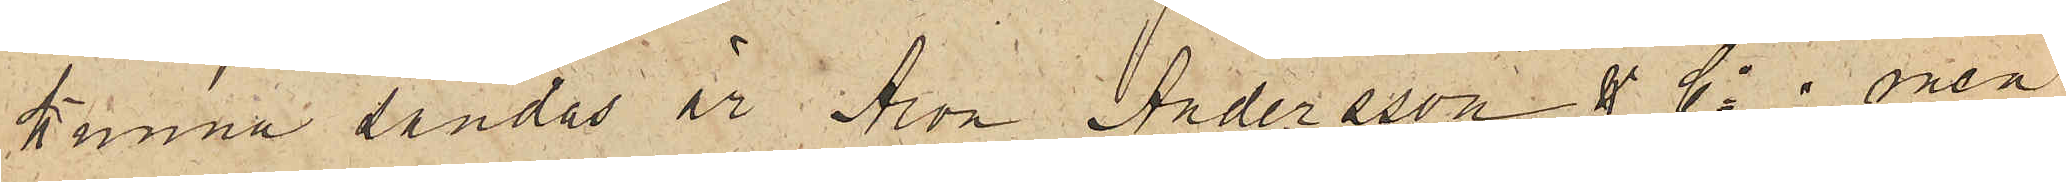kunna sändas är Aron Andersson & Co; men
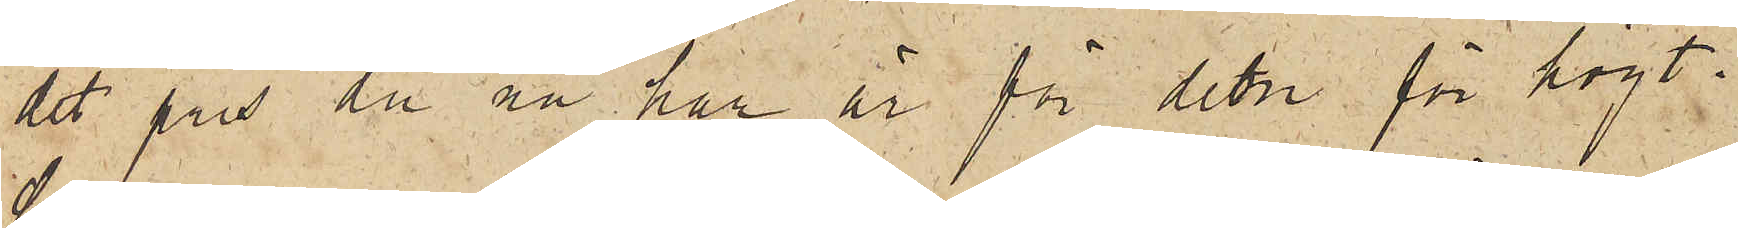det pris du nu har är för dem för högt.
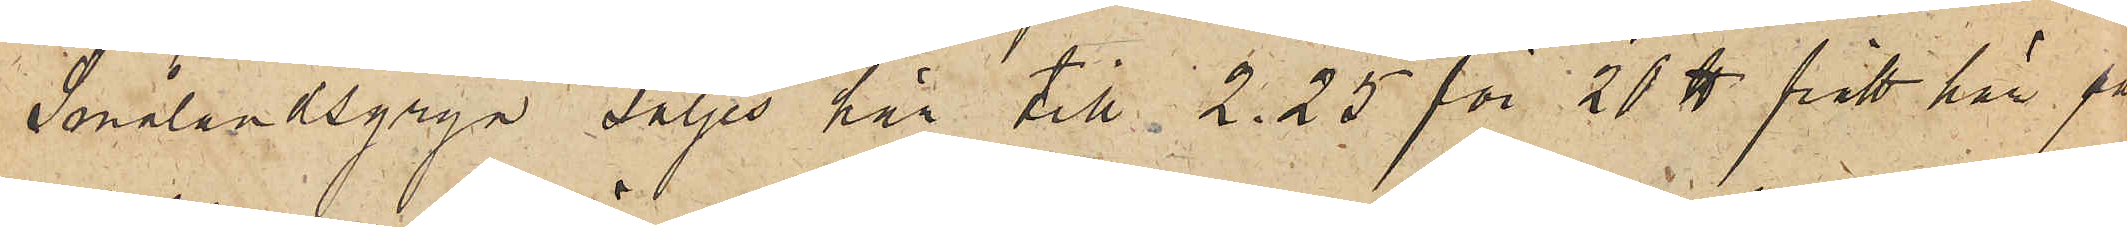Smålandsgryn säljes här till 2.25 för 20 ℔ fritt här på
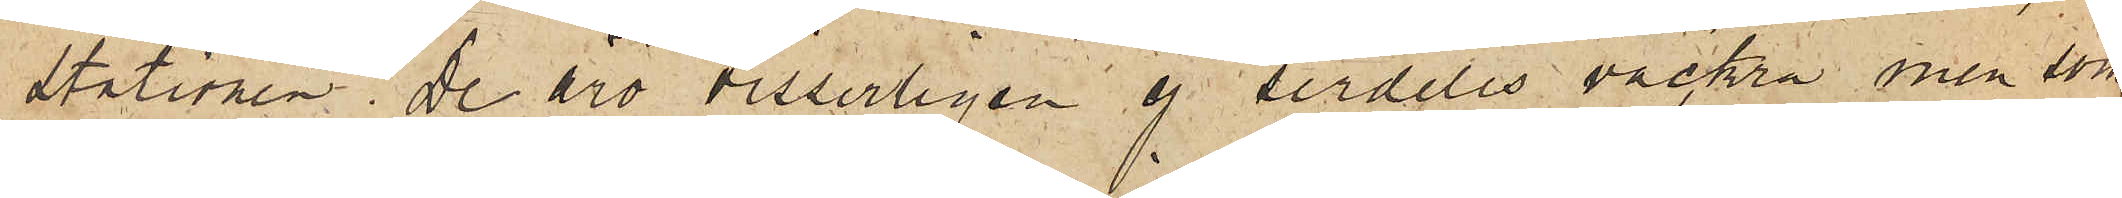stationen. De äro visserligen ej serdeles vackra, men som
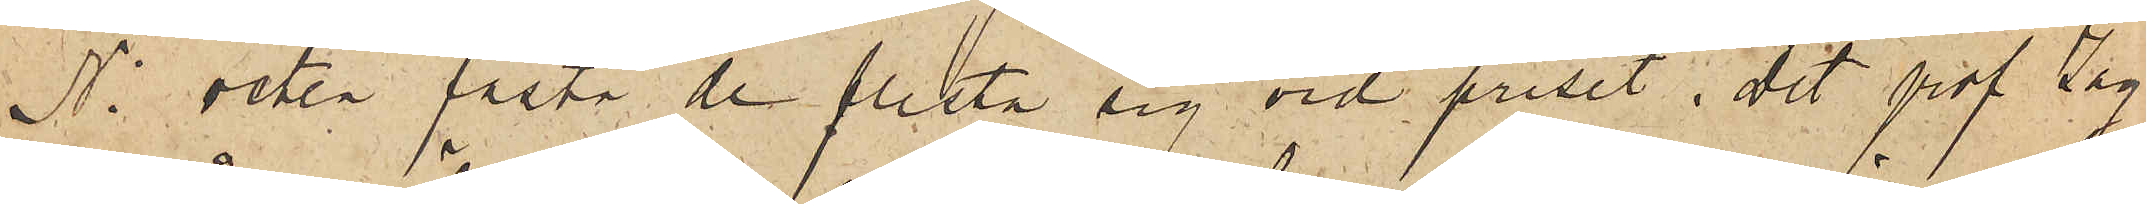Ni veten fästa de flesta sig vid priset.  Det prof jag
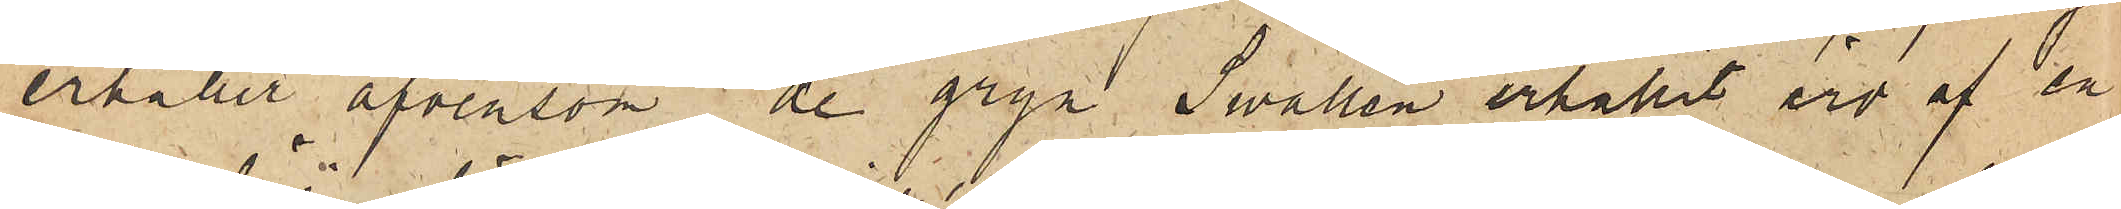erhåller äfvensom de gryn Swallén erhållit äro af en
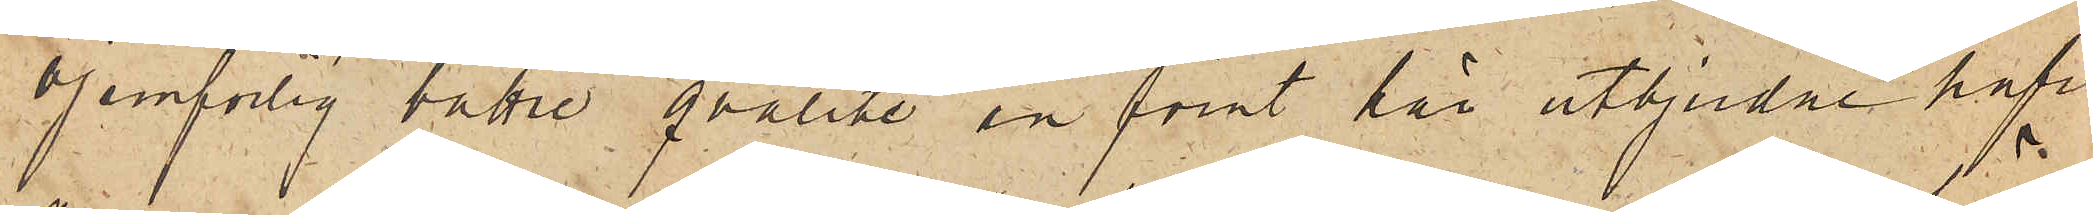ojemförlig bättre qvalité än förut här utbjudne hafre¬
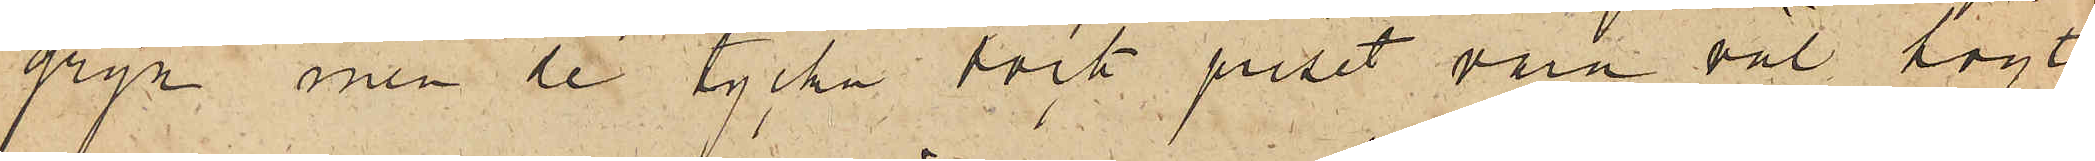gryn, men de tycka dock priset vara väl  högt.
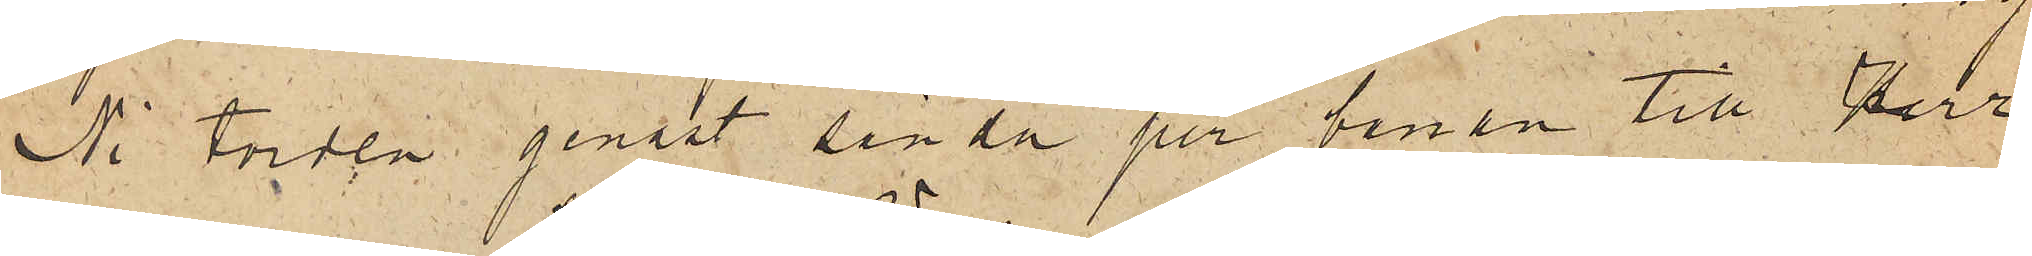Ni torden genast sända per banan till Herr
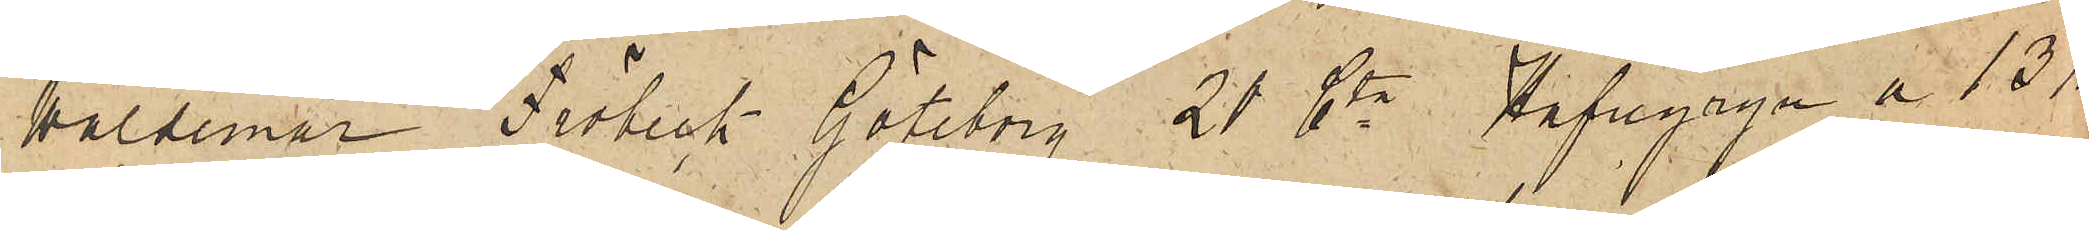Waldemar Fröbeck Göteborg 20 Ctr Hafregryn a 13 Kr
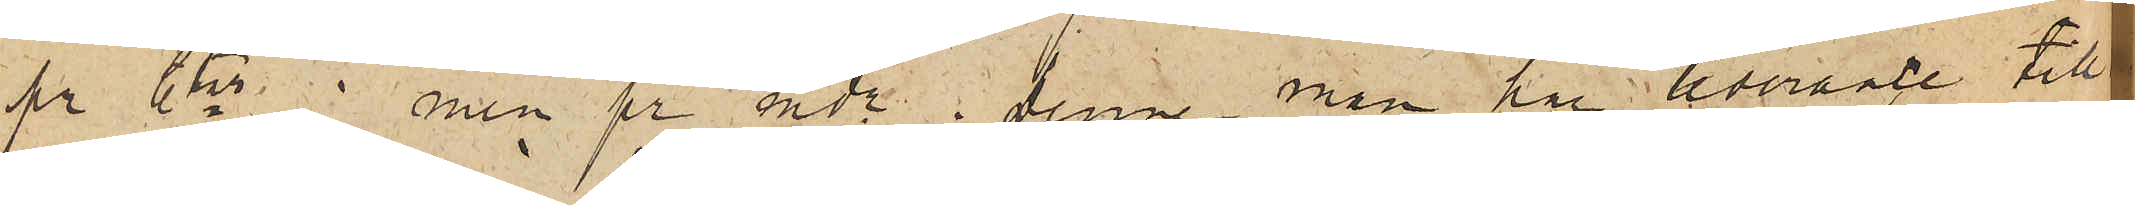pr Cter ; men pr mdr.  Denne man har leverance till
